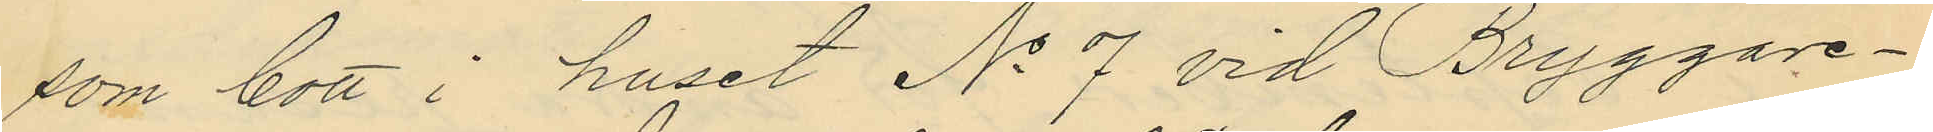som bott i huset No 7 vid Bryggare¬
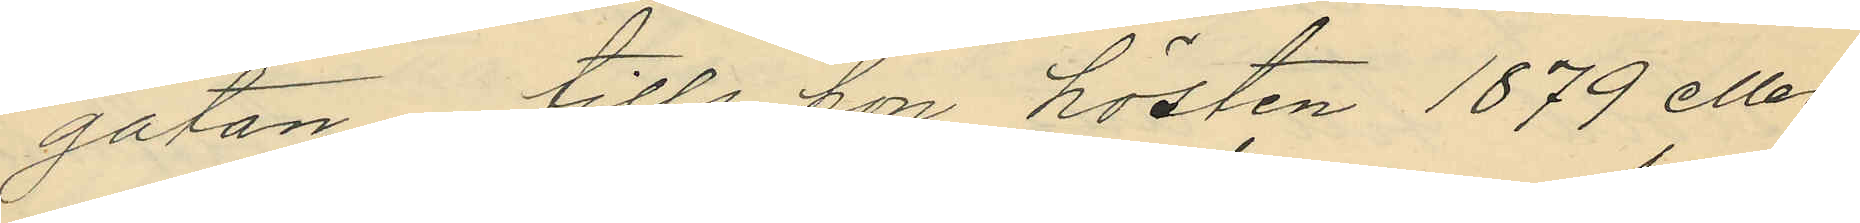gatan, tills hon hösten 1879 eller
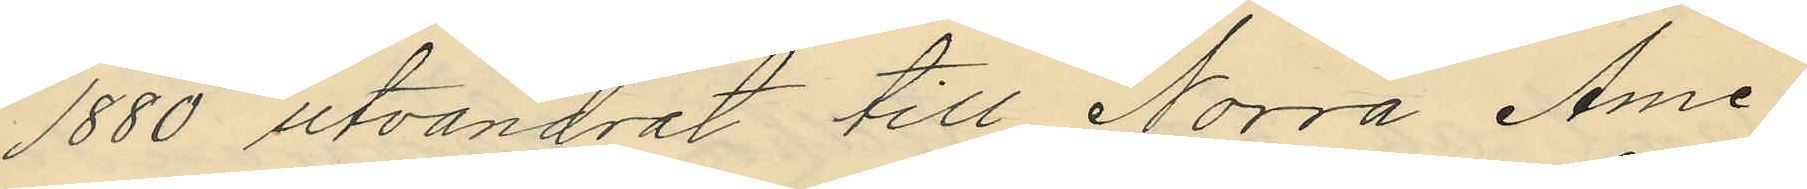1880 utvandrat till Norra Ame¬
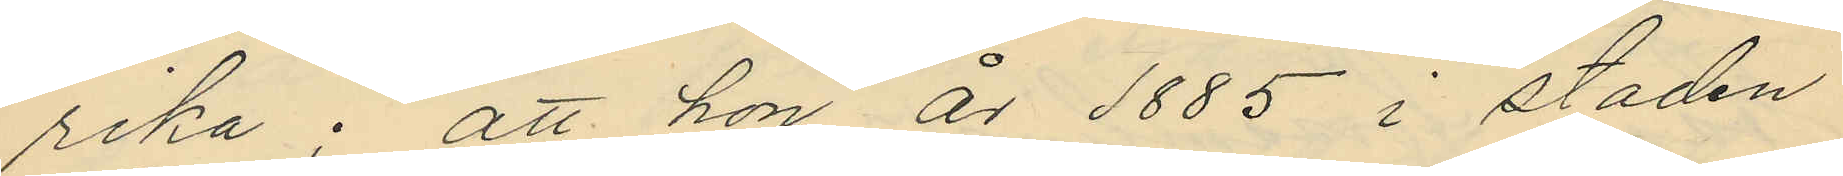rika; att hon år 1885 i staden
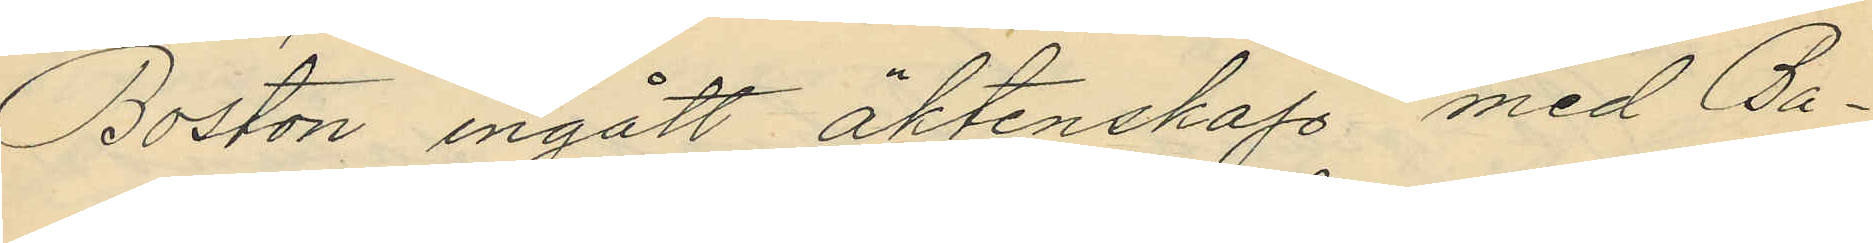Boston ingått äktenskap med Ba¬
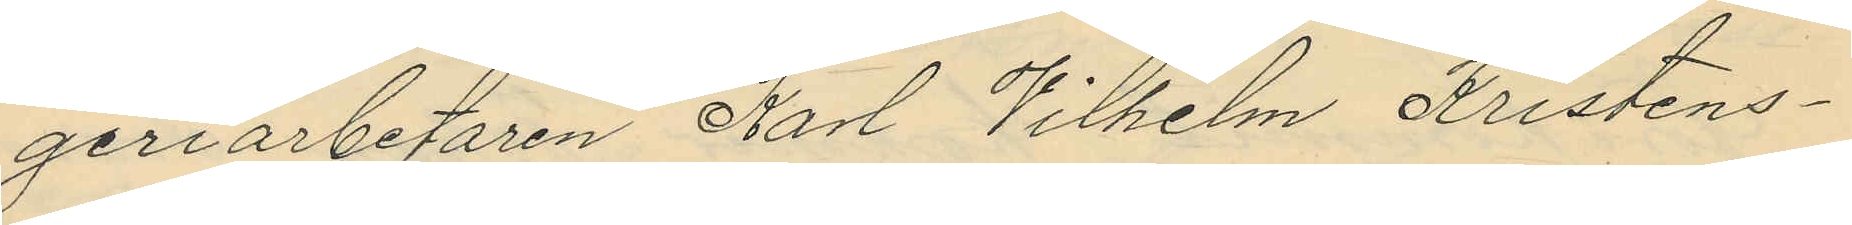geriarbetaren Karl Vilhelm Kristens¬
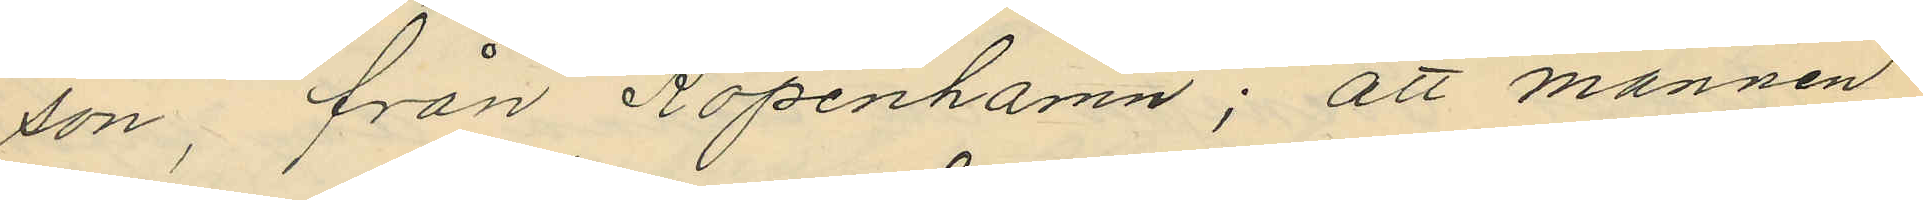son, från Köpenhamn; att mannen
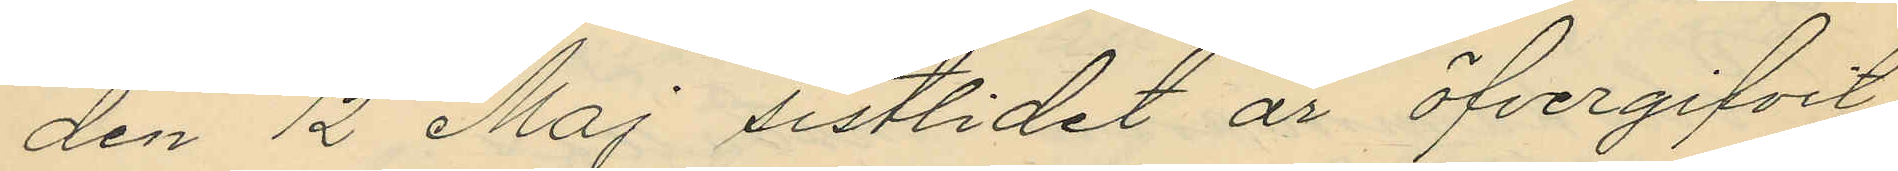den 12 Maj sistlidet år öfvergifvit
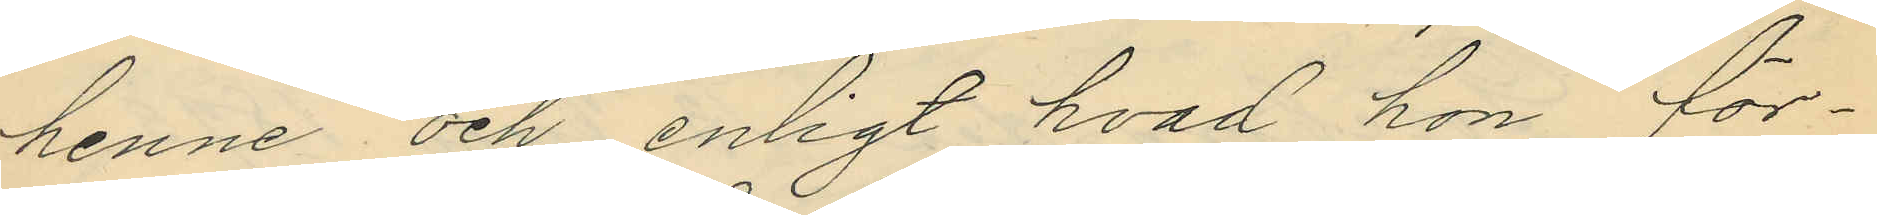henne och enligt hvad hon för¬
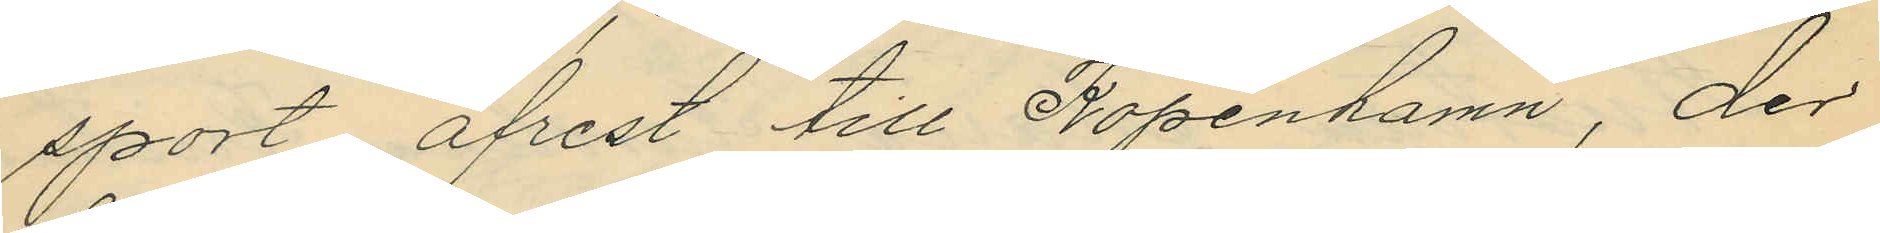sport, afrest till Köpenhamn, der
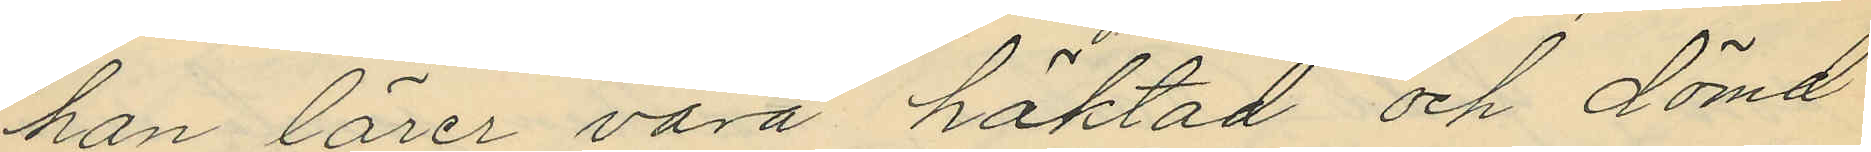han lärer vara häktad och dömd
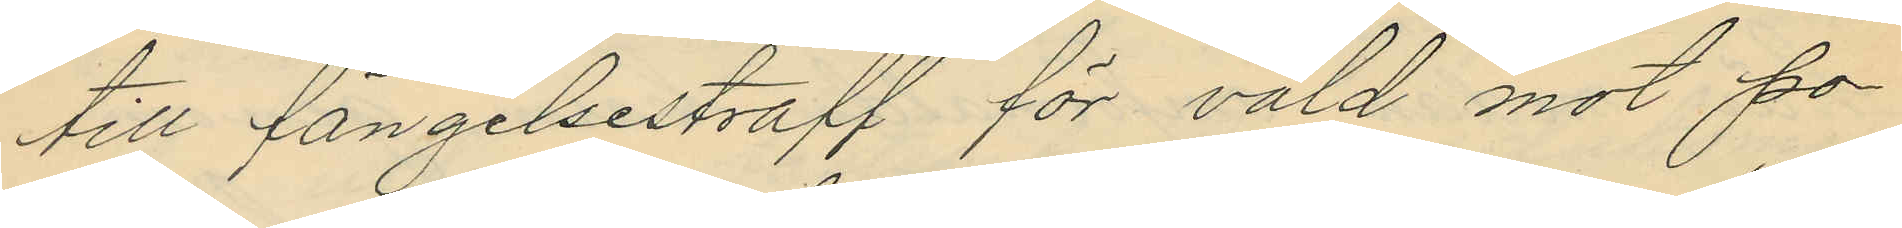till fängelsestraff för våld mot po¬
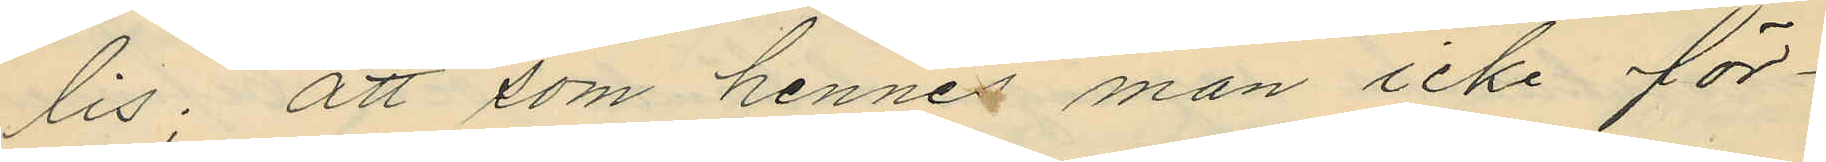lis; att som hennes man icke för¬
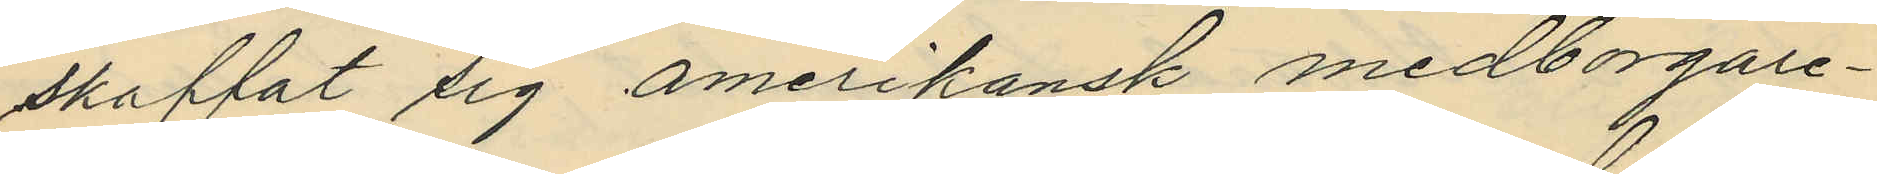skaffat sig amerikansk medborgare¬
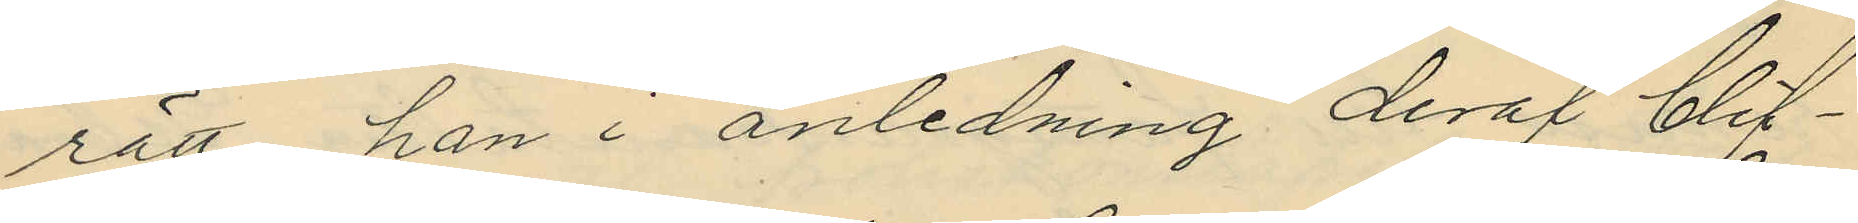rätt, han i anledning deraf blif¬
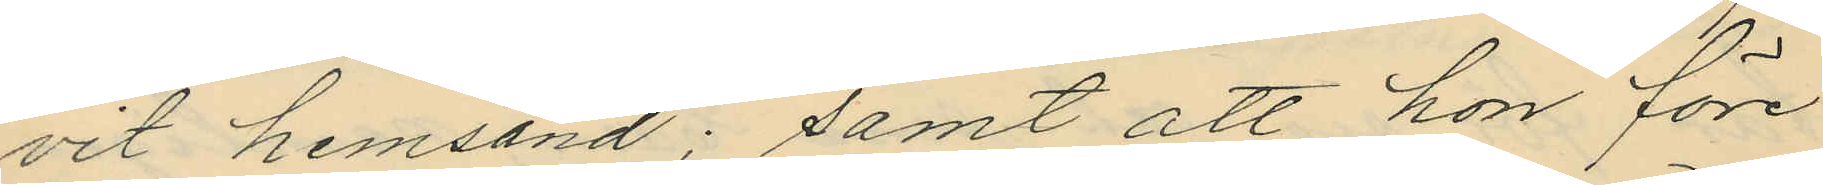vit hemsänd; samt att hon före
